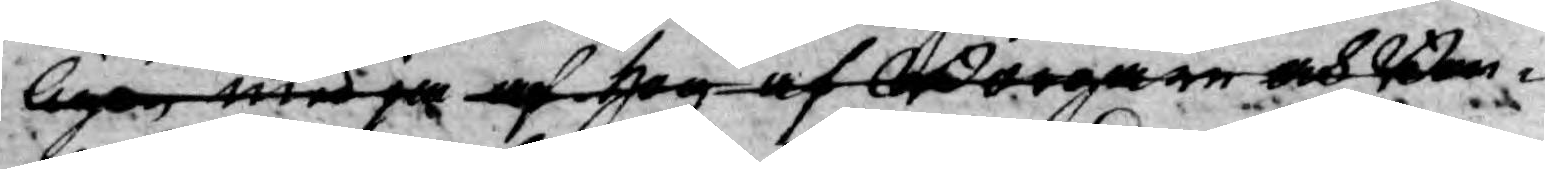lige med ja af hog af Borgare och Bon¬
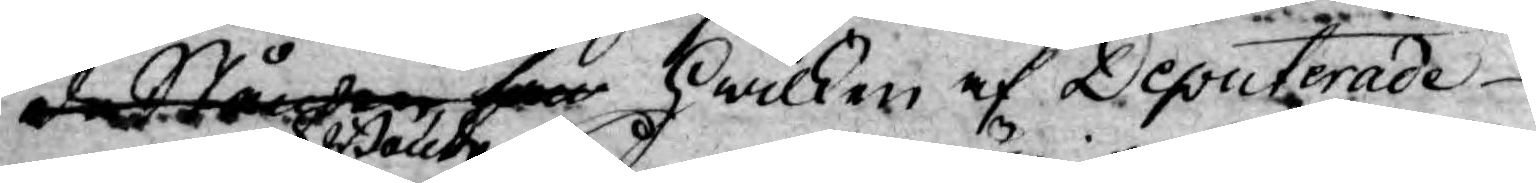de Stånden som hwilken af Deputerade
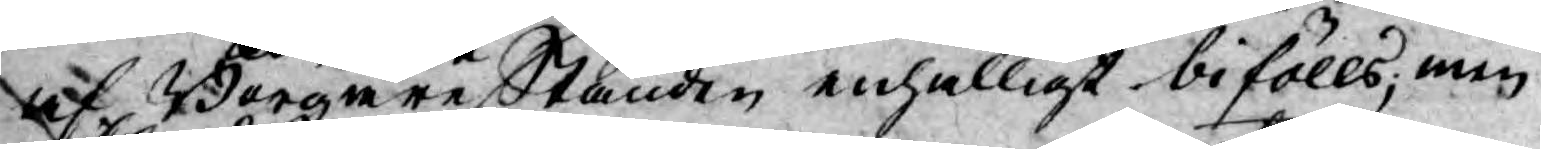af Borgare och Bonde Stånden enhälligt bifölls; men
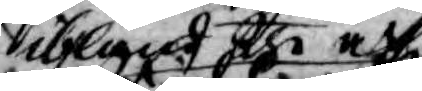ibland the af
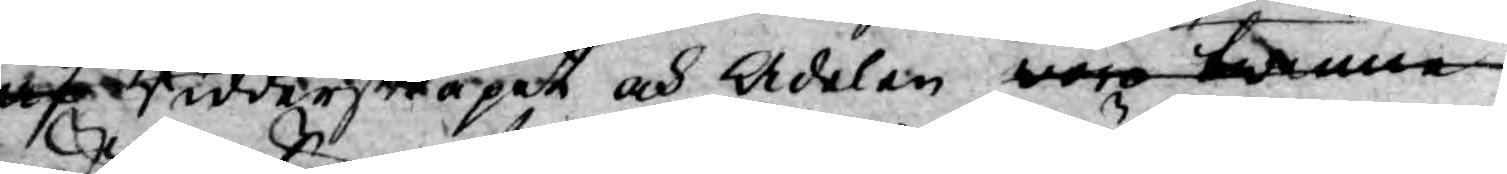af Ridderskapet och Adelen woro twenne
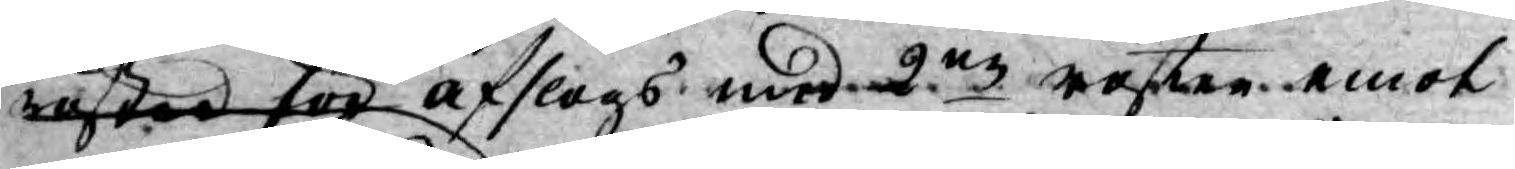röster för afslags med 2ne röster emot
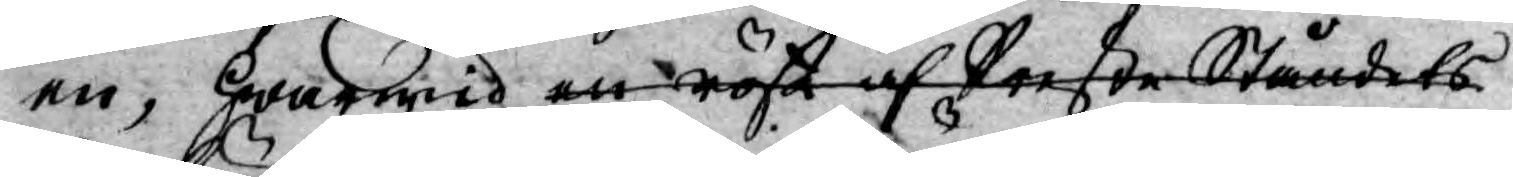en, hwarwid en röst af Preste Ståndets
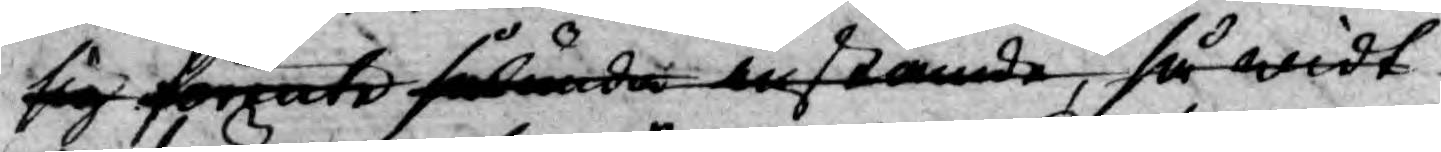sig förente sålunda instämde, så widt
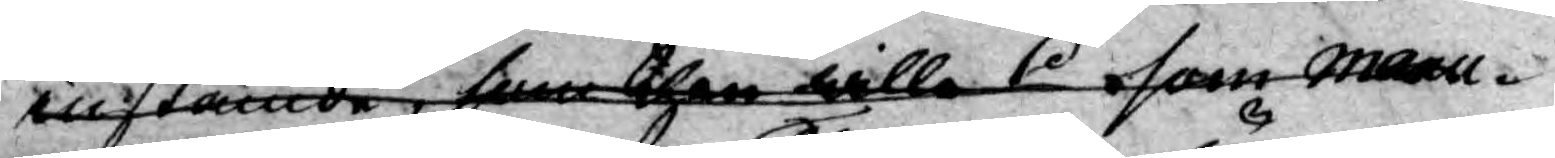instämde, som then wille I som manu¬
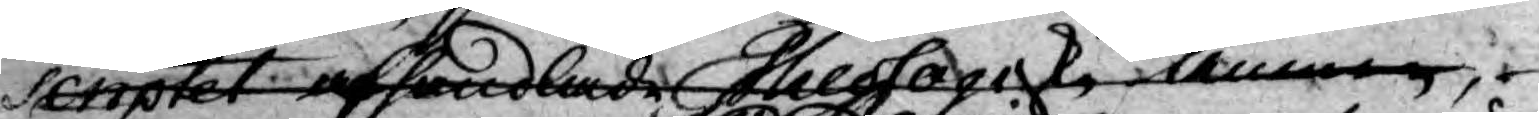scriptet afhandlade Theologiske ämnen,
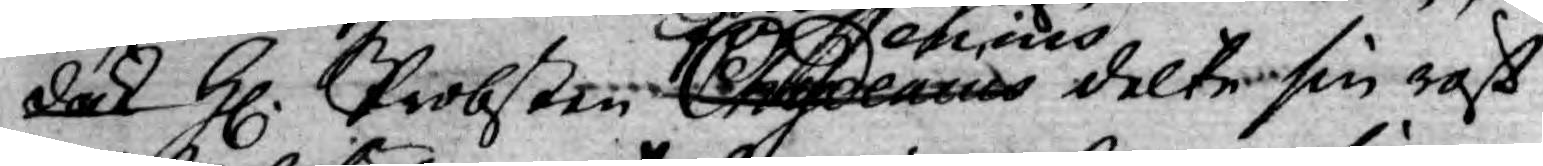dock H. Probsten Chydeanus Forsenius delte sin röst
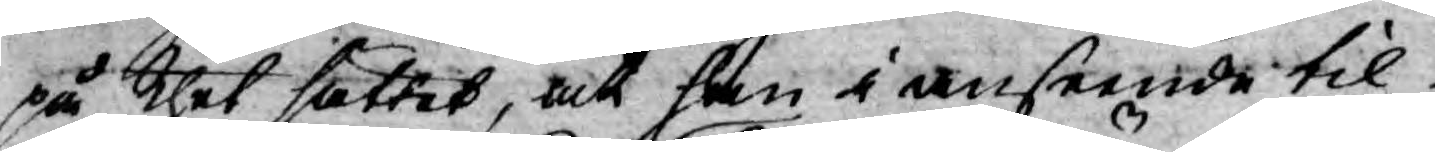på thet sättet, at han i anseende til
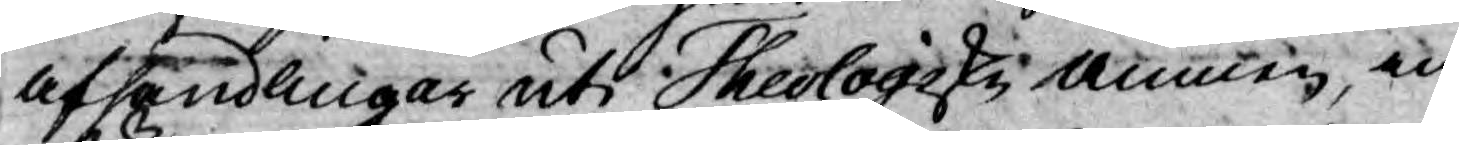afhandlingar uti Theologiske änmen, in¬
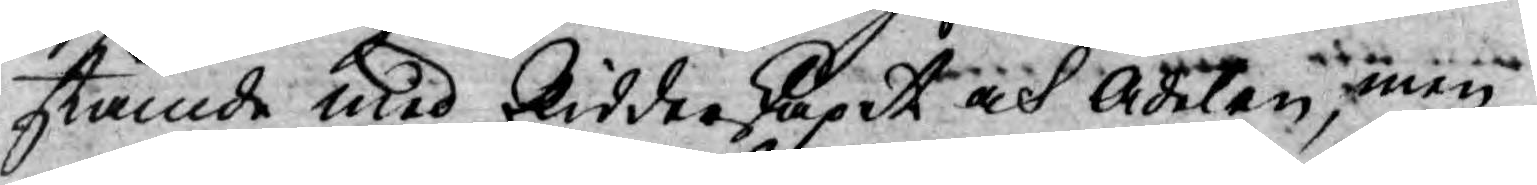stämde med Ridderskapet och Adelen, men
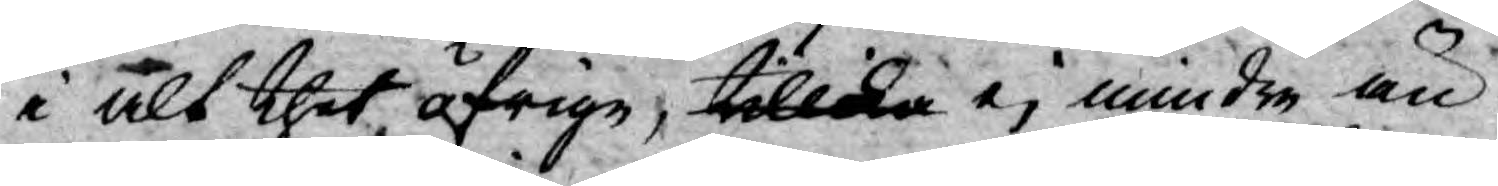i alt thet öfrige, tillika ej mindre än
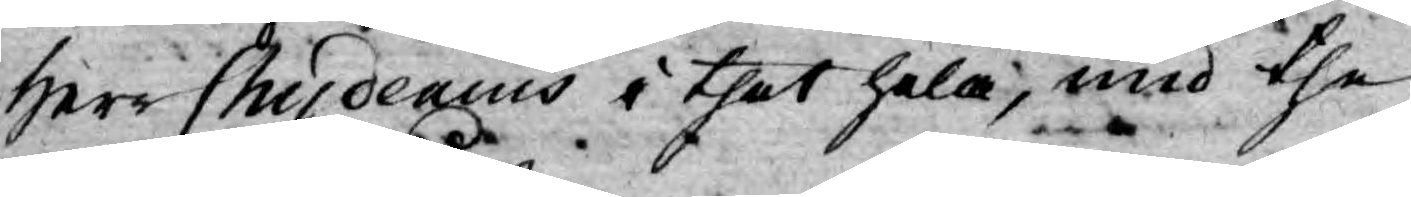Herr Chydenius i thet hela, med the
